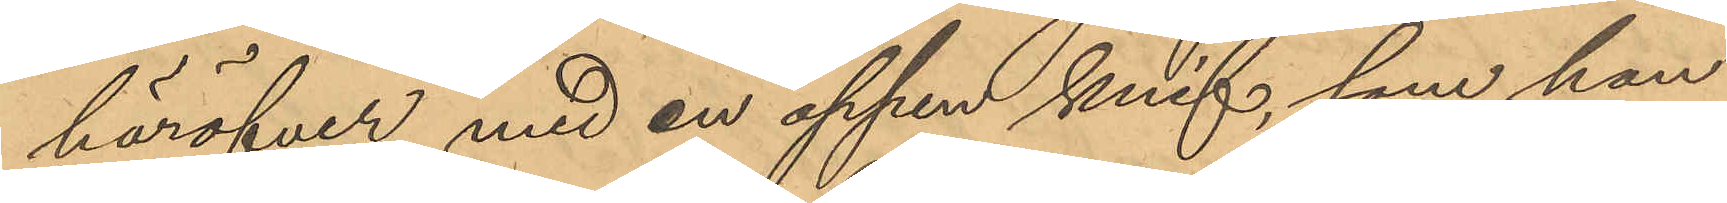häröfver med en öppen knif, som han
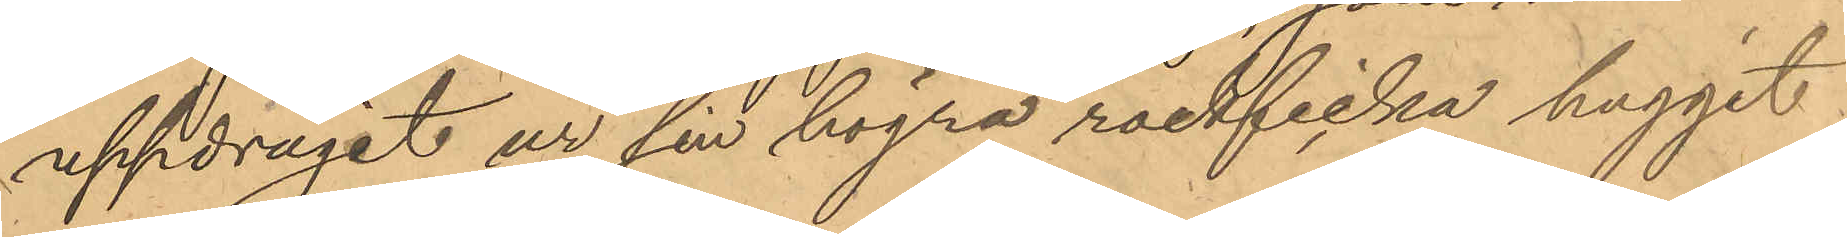uppdragit ur sin högra rockficka huggit
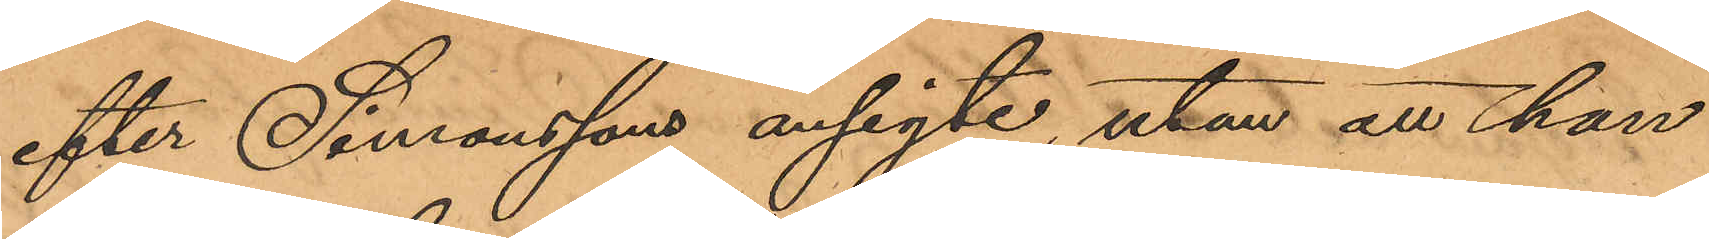efter Simonssons ansigte, utan att han
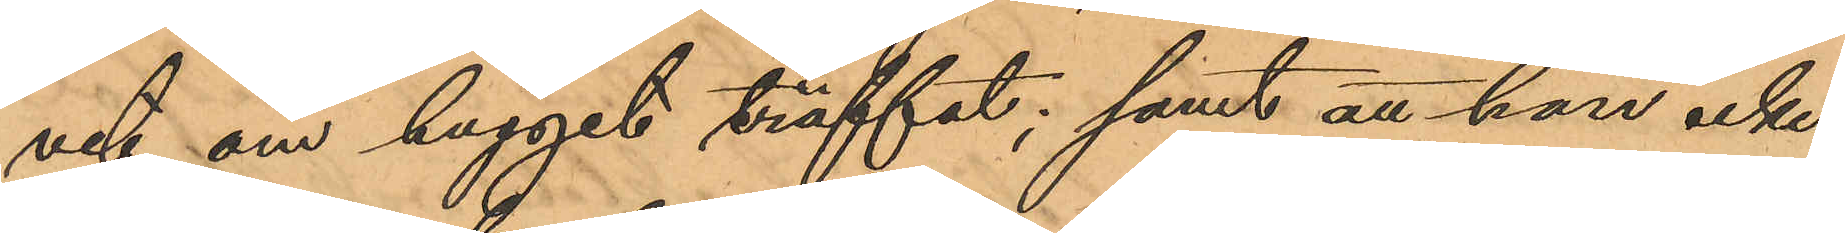vet om hugget träffat; samt att han icke
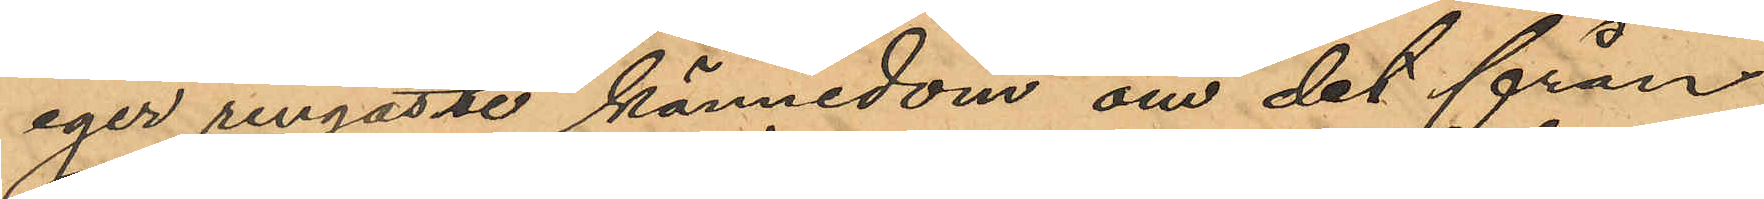eger ringaste kännedom om det från
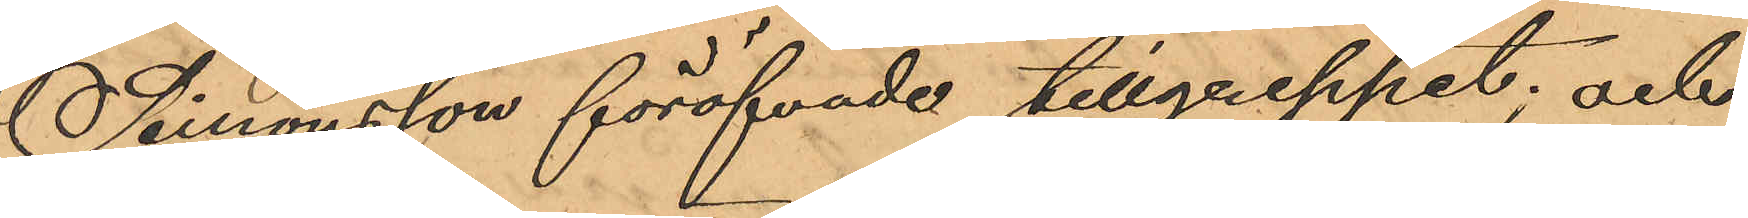Simonsson föröfvade tillgreppet; och
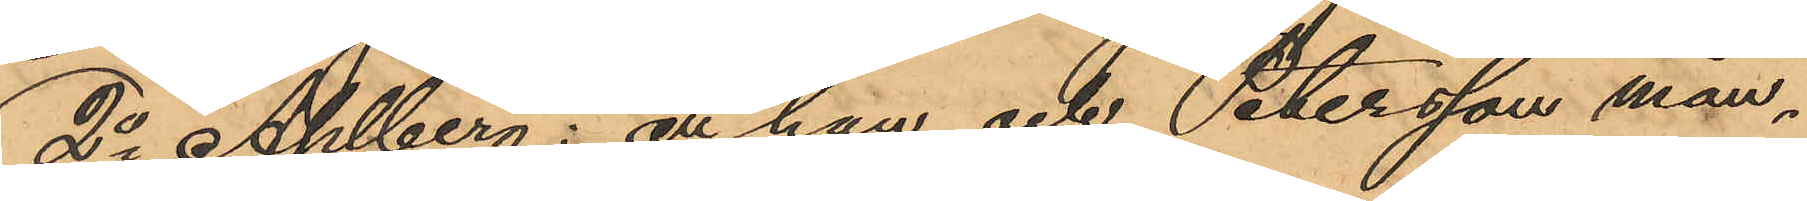2o Ahlberg: att han och Petersson mån¬
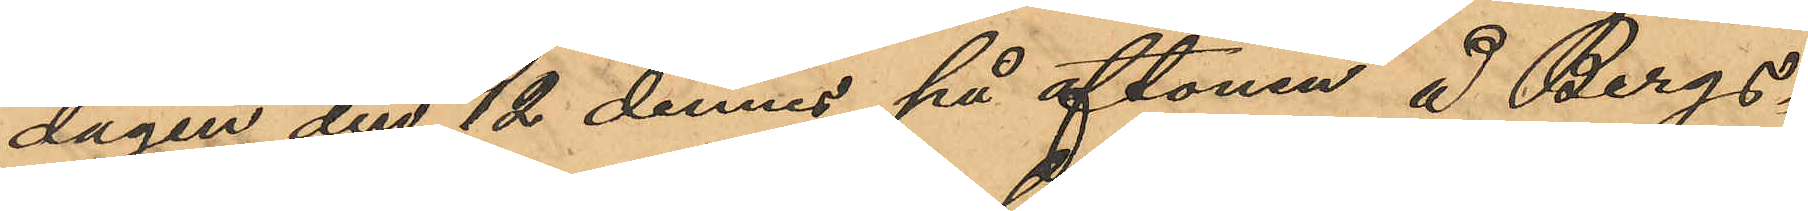dagen den 12 dennes på aftonen å Bergs¬
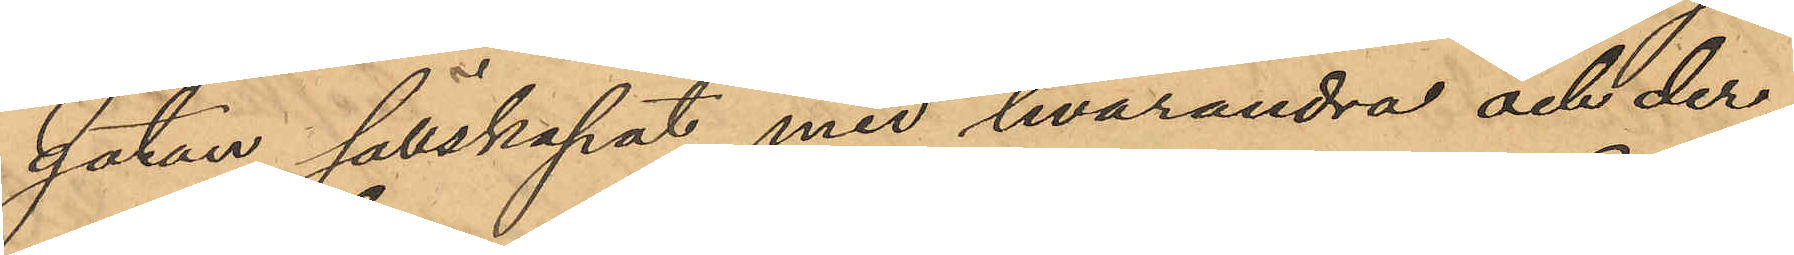gatan sällskapat med hvarandra och der¬
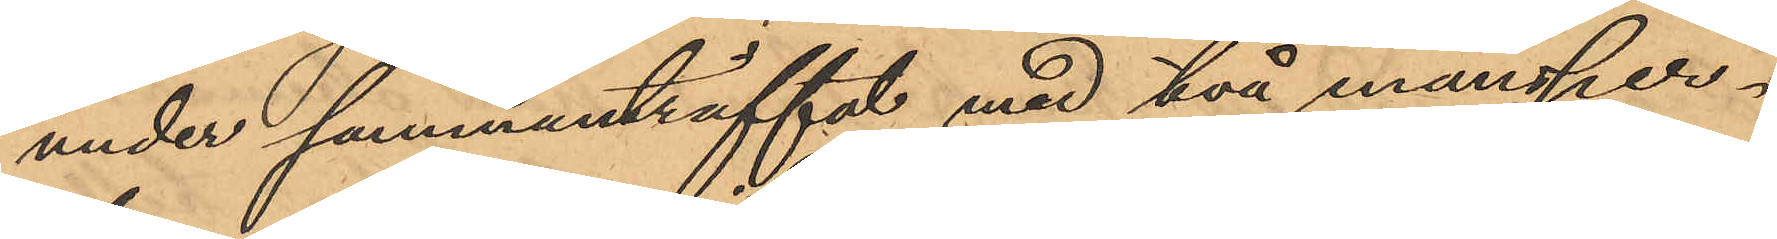under sammanträffat med två mansper¬
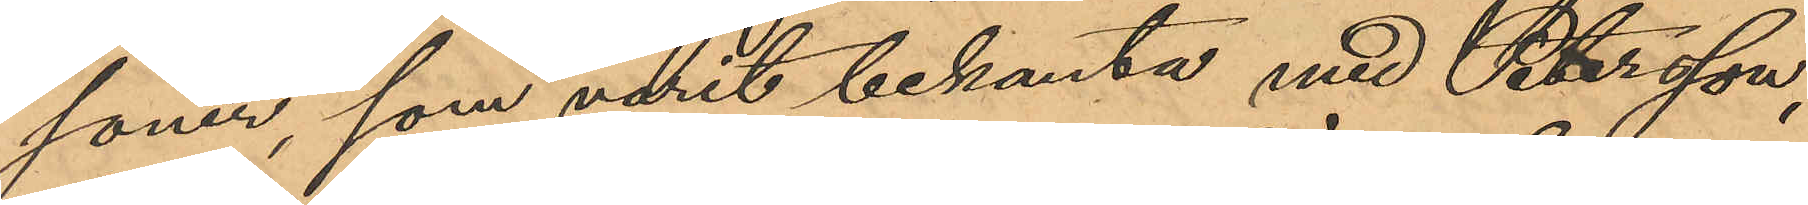soner, som varit bekanta med Petersson,
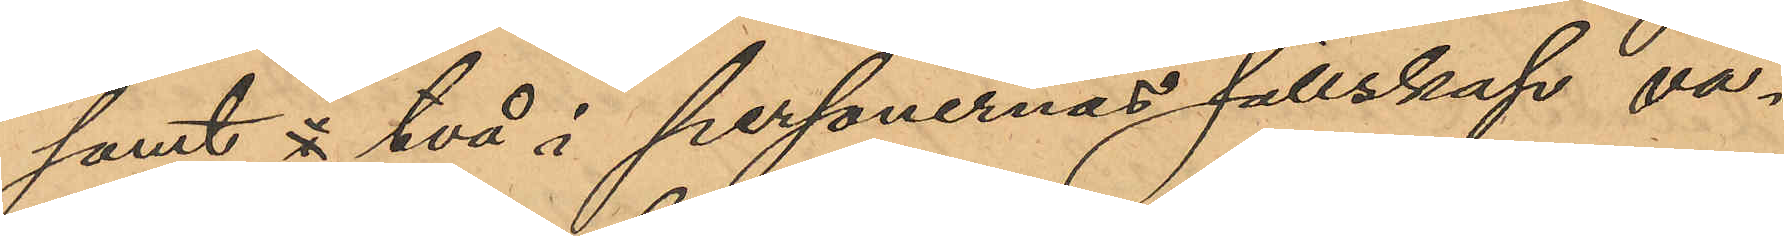samt  två, i personernas sällskap va¬
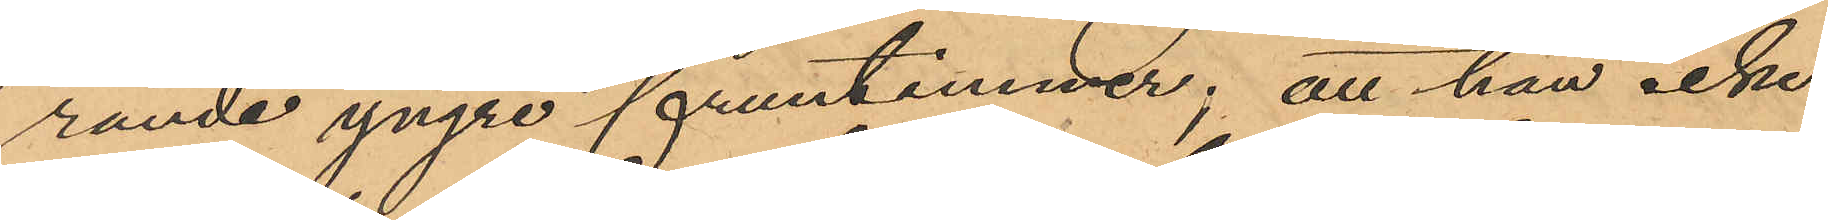rande yngre fruntimmer; att han icke
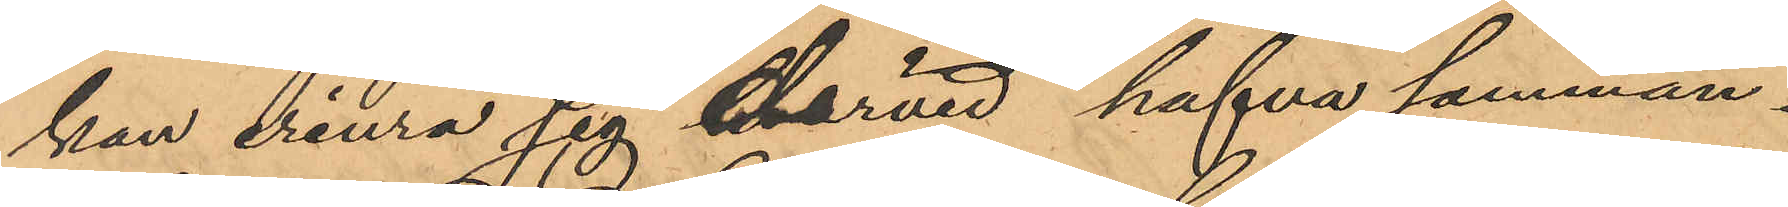kan erinra sig härvid hafva samman¬
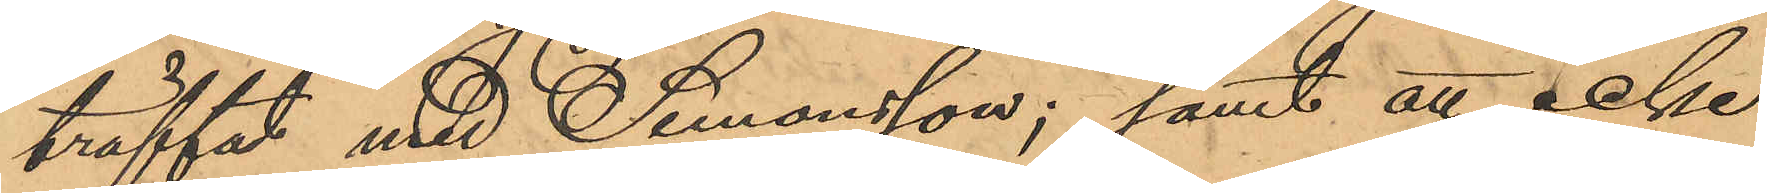träffat med Simonsson; samt att icke
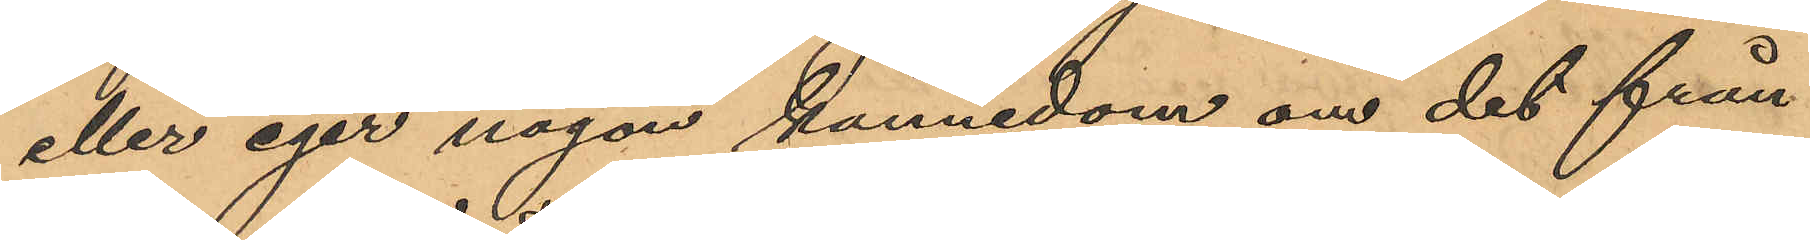eller eger någon kännedom om det från
